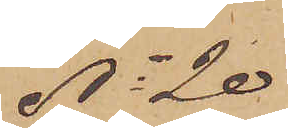No 20
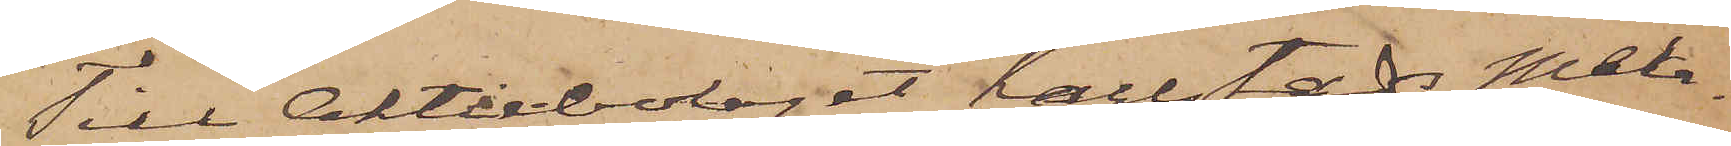Till Aktiebolaget Karlstads Mek¬
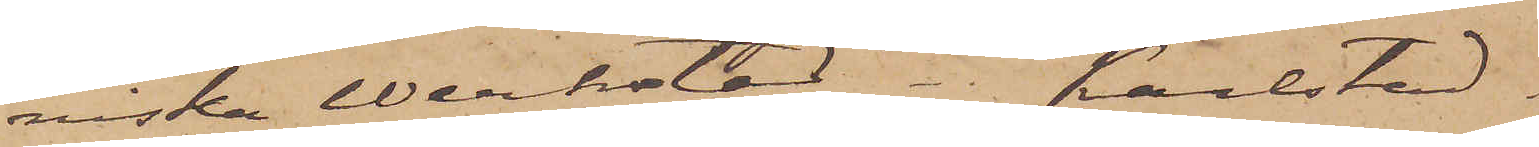niska Werkstad - Karlstad
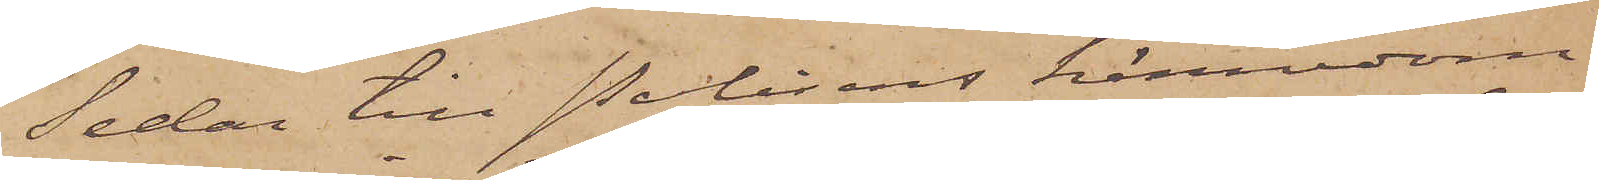Sedan till Polisens kännedom
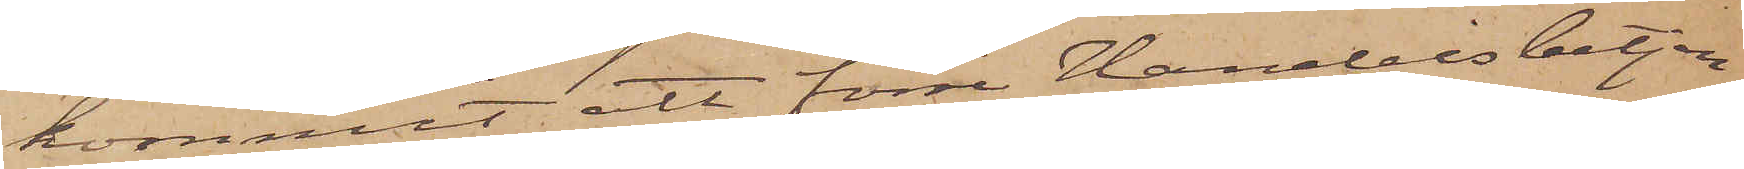kommit att förre Handelsbetjen¬
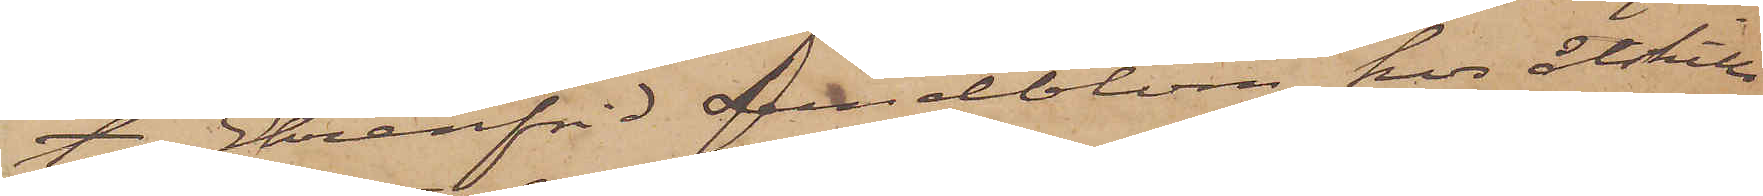ten Ehrenfrid Lundblom hos åtskilli¬
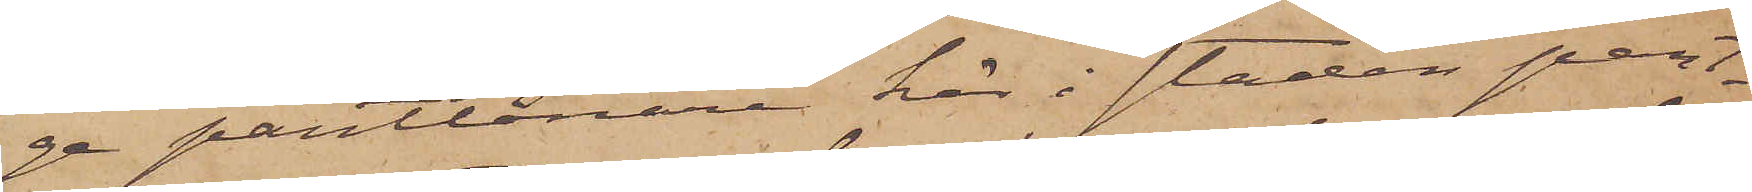ge pantlånare här i staden pant¬
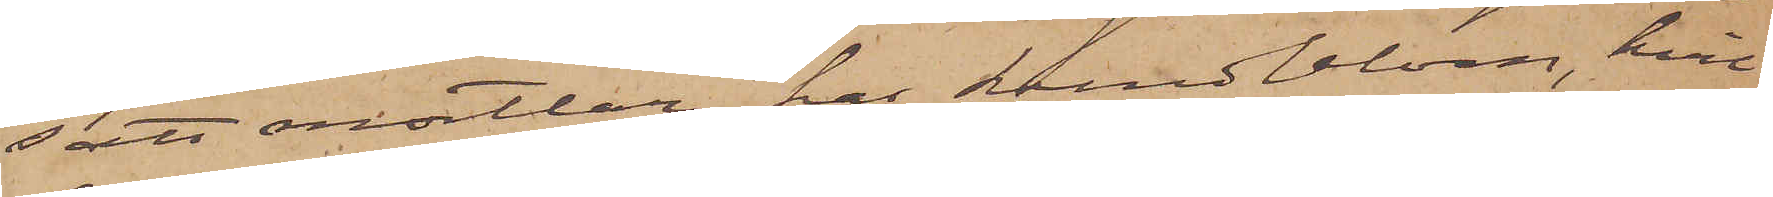satt mortlar har Lundblom, hvil¬
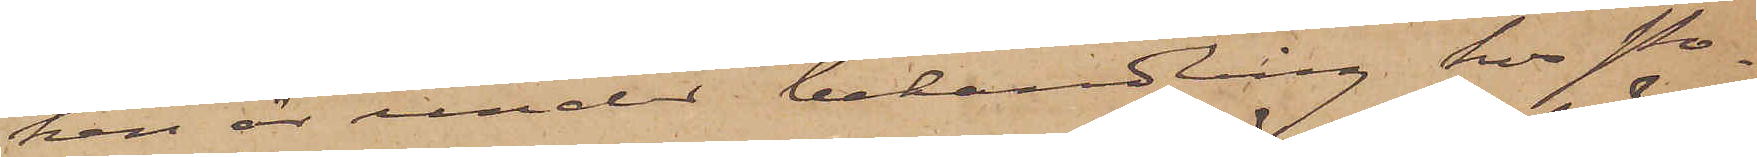ken är under behandling hos Po¬
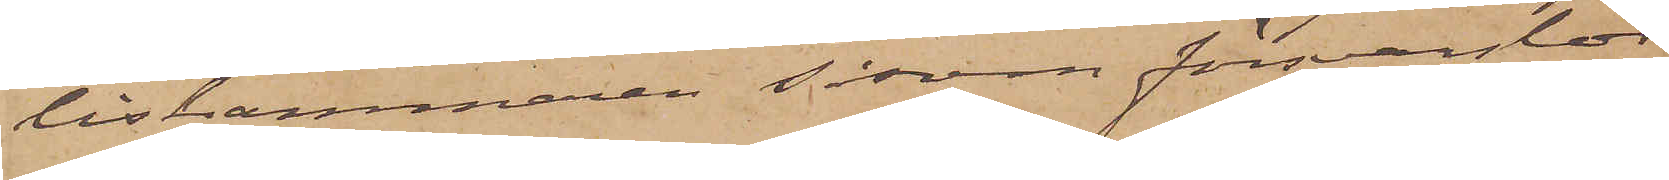liskammaren såsom försvarslös
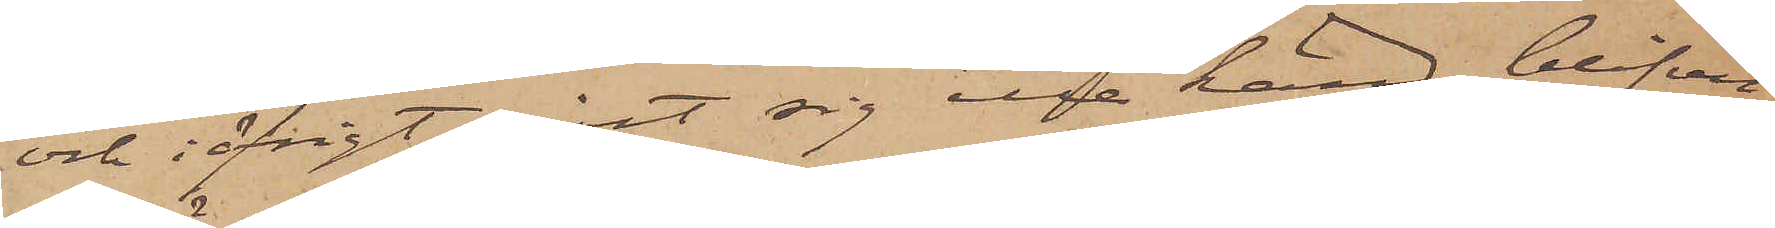och i öfrigt gjort sig illa känd, blifvit
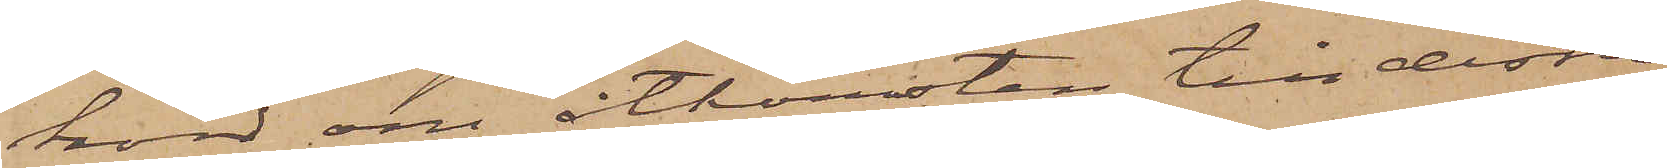hörd om åtkomsten till dessa
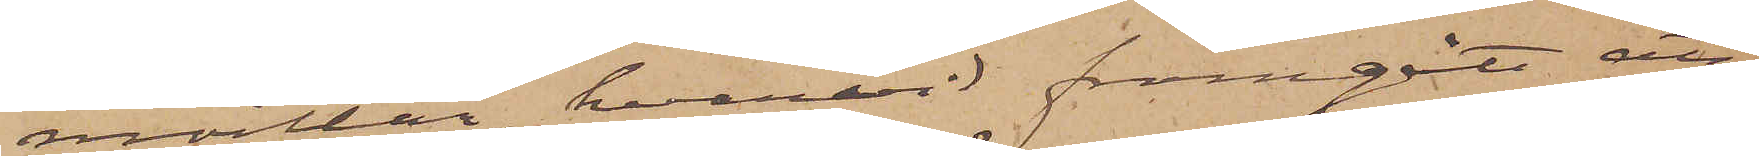mortlar, hvarvid framgått att
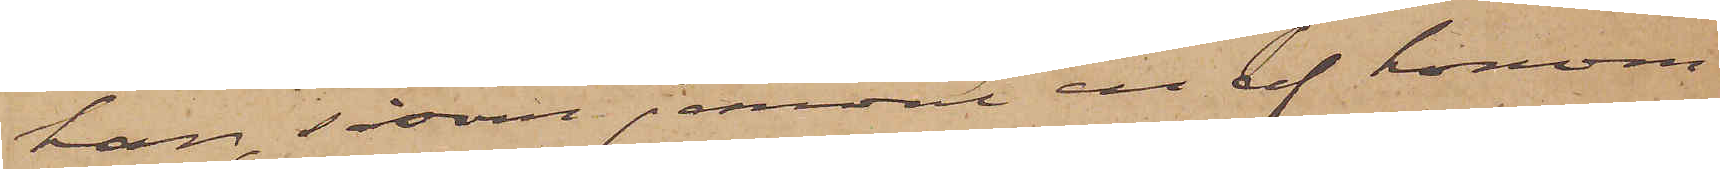han, såsom jemväl en af honom
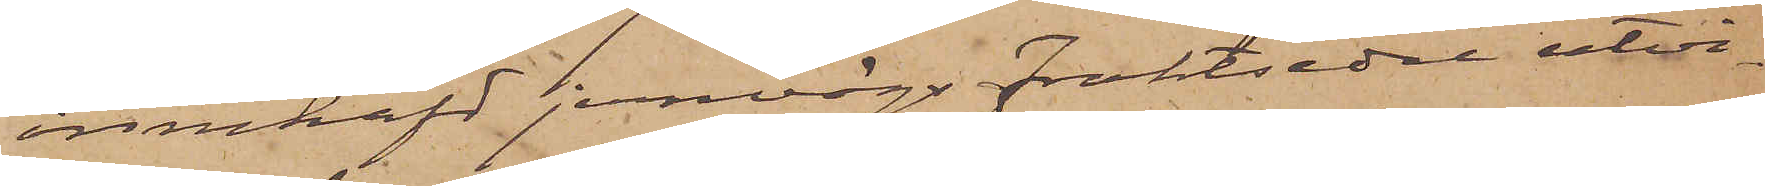innehafd jernvägsfraktsedel utvi¬
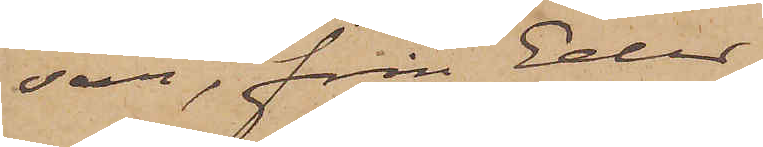sar, från Eder
